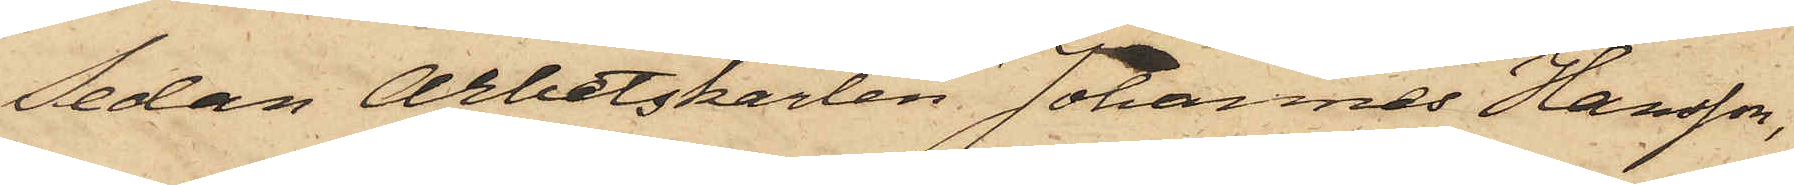Sedan Arbetskarlen Johannes Hansson,
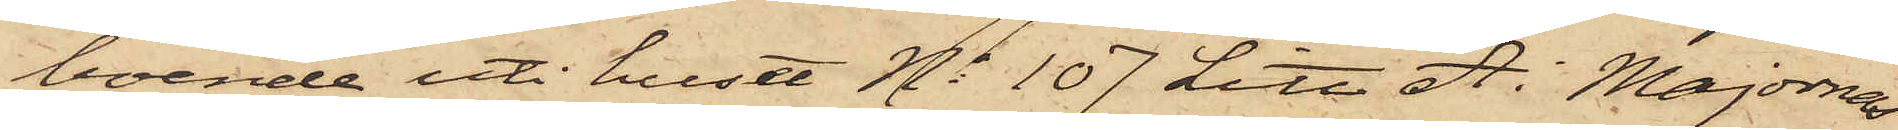boende uti huset No 107 Litt A. i Majornas
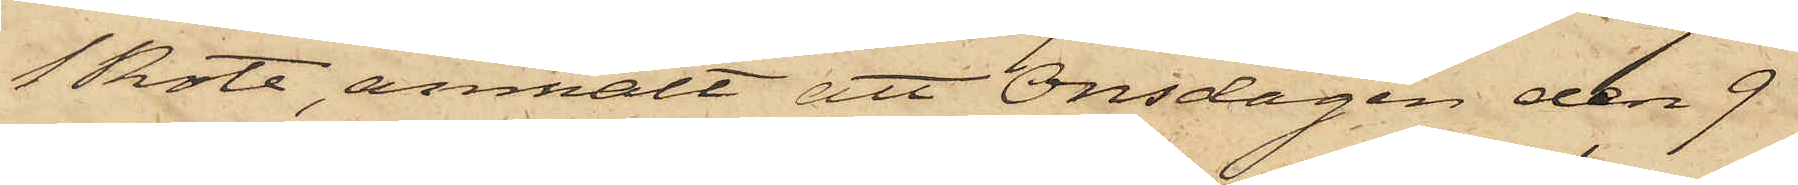1 Rote, anmält att Onsdagen den 9
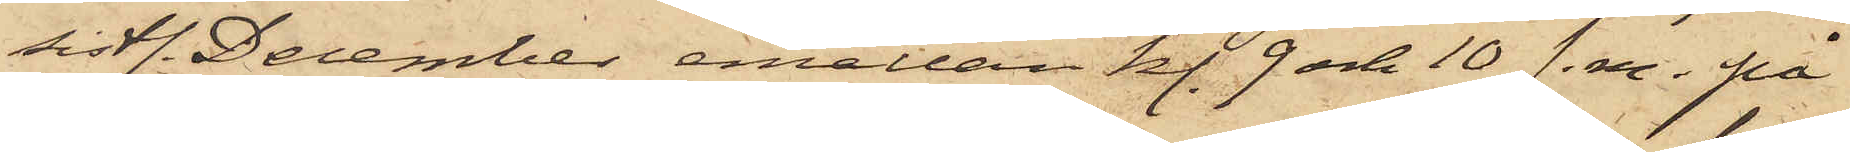sistl. December emellan kl. 9 och 10 f.m. på
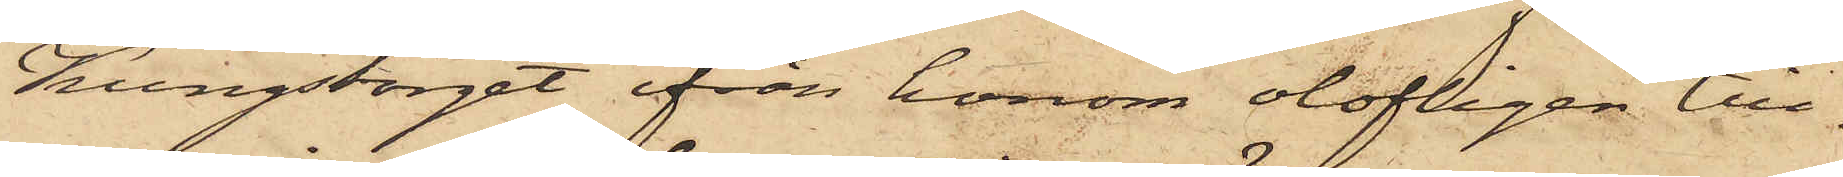Kungstorget ifrån honom olofligen till¬
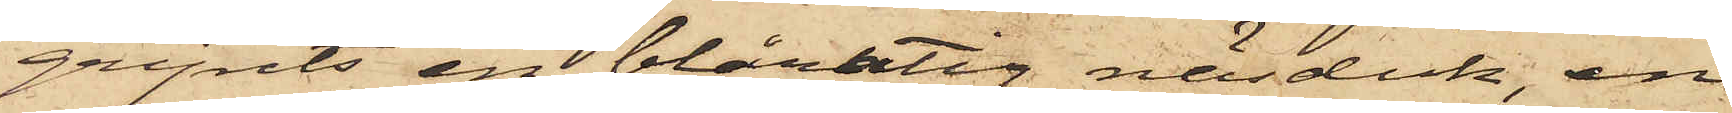gripits en blårutig näsduk, en
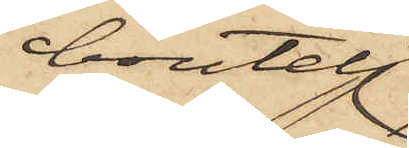boutelj
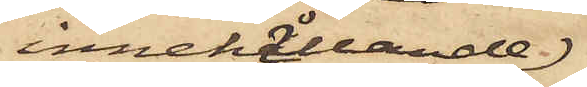innehållande
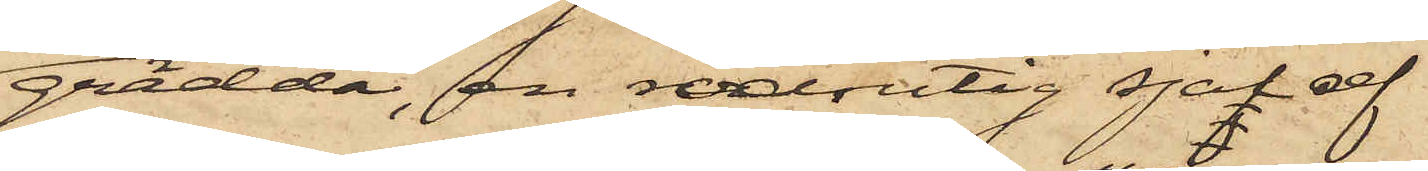grädda, en rödrutig sjal af
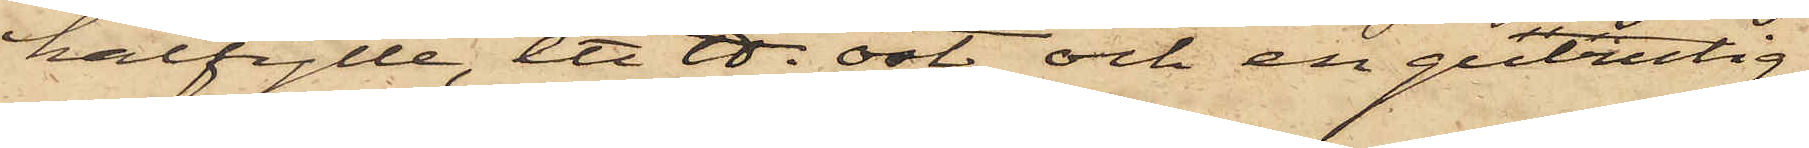halfylle, ett ℔. ost och en gulrutig
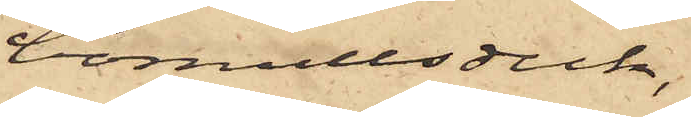bomullsduk,
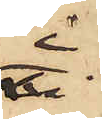i
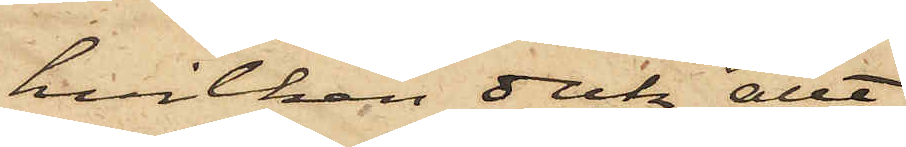hvilken duk allt
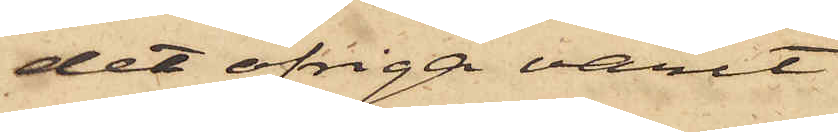det öfriga varit
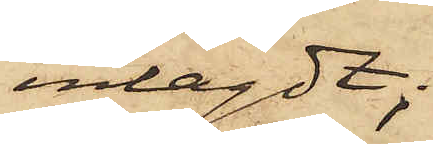inlagdt;
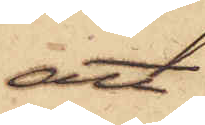att
